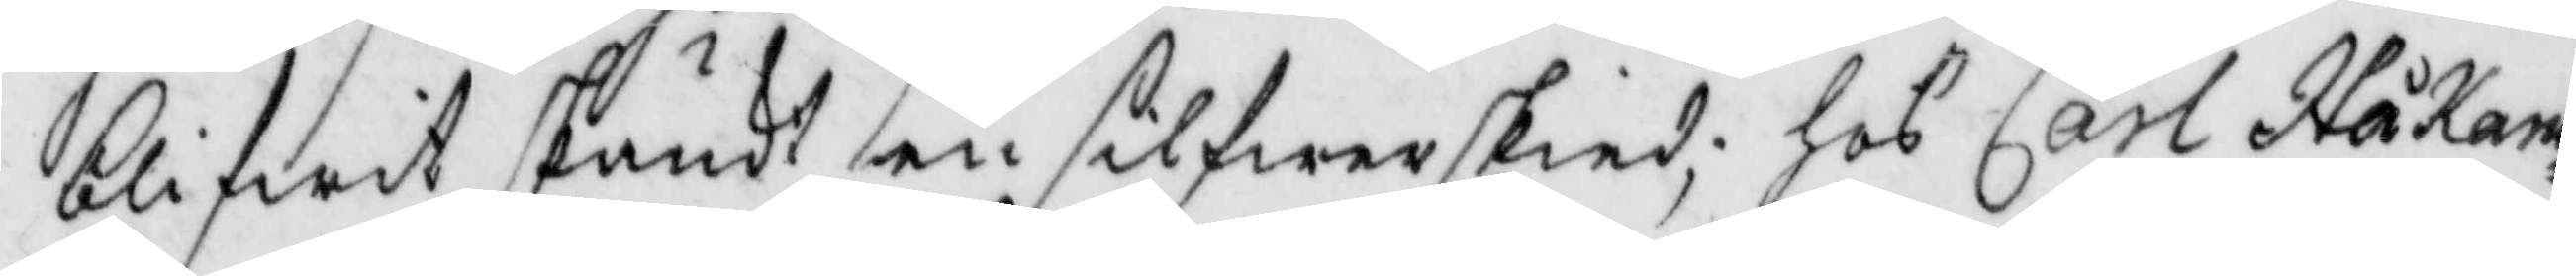blifwit skänkt en silfwerskied; hos Carl Håkans¬
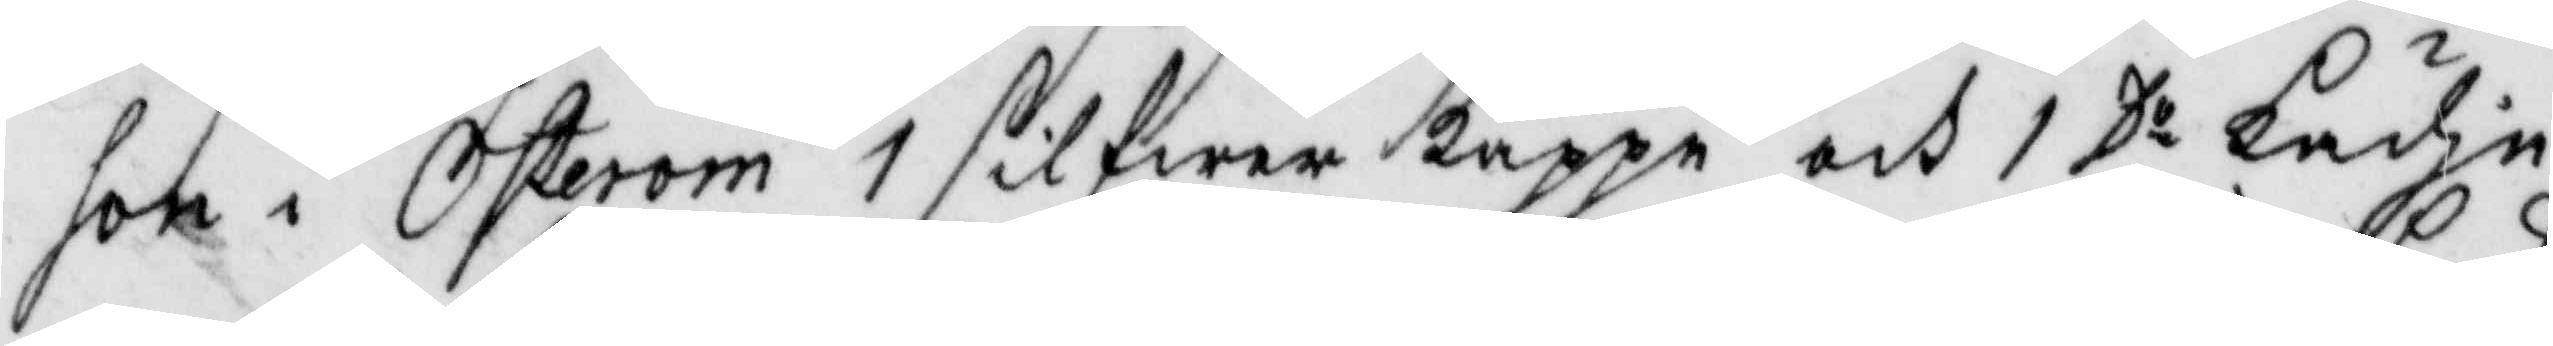son i Österom 1 silfwerkappe och 1 Do kädje
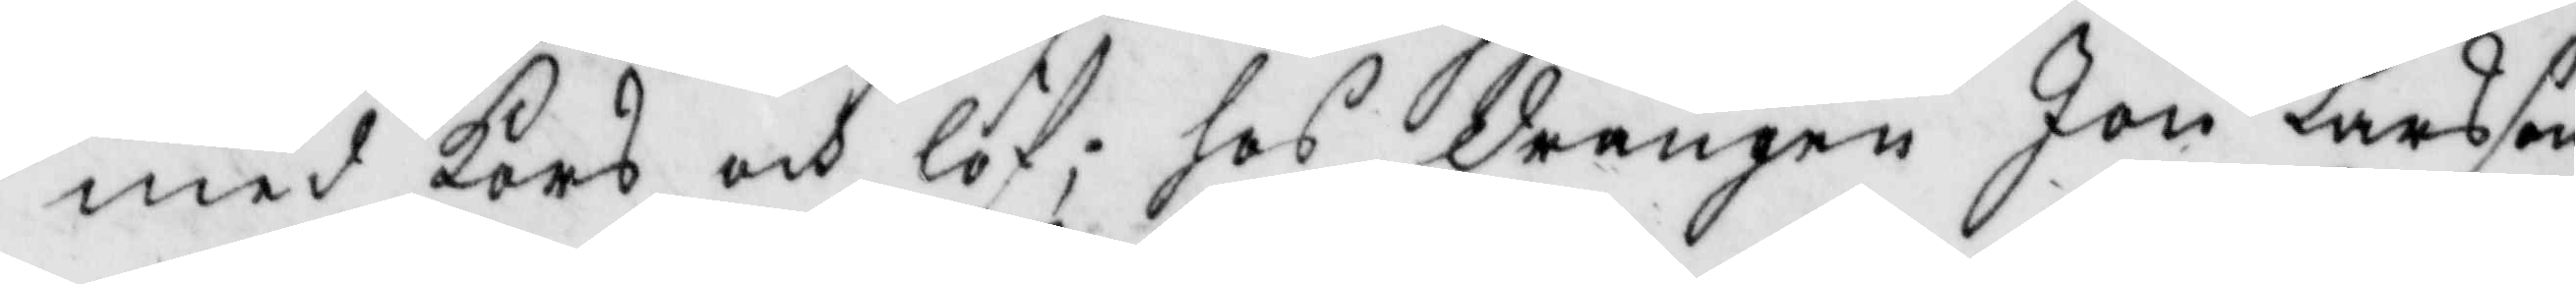med kors och löf; hos drängen Jon Larsson
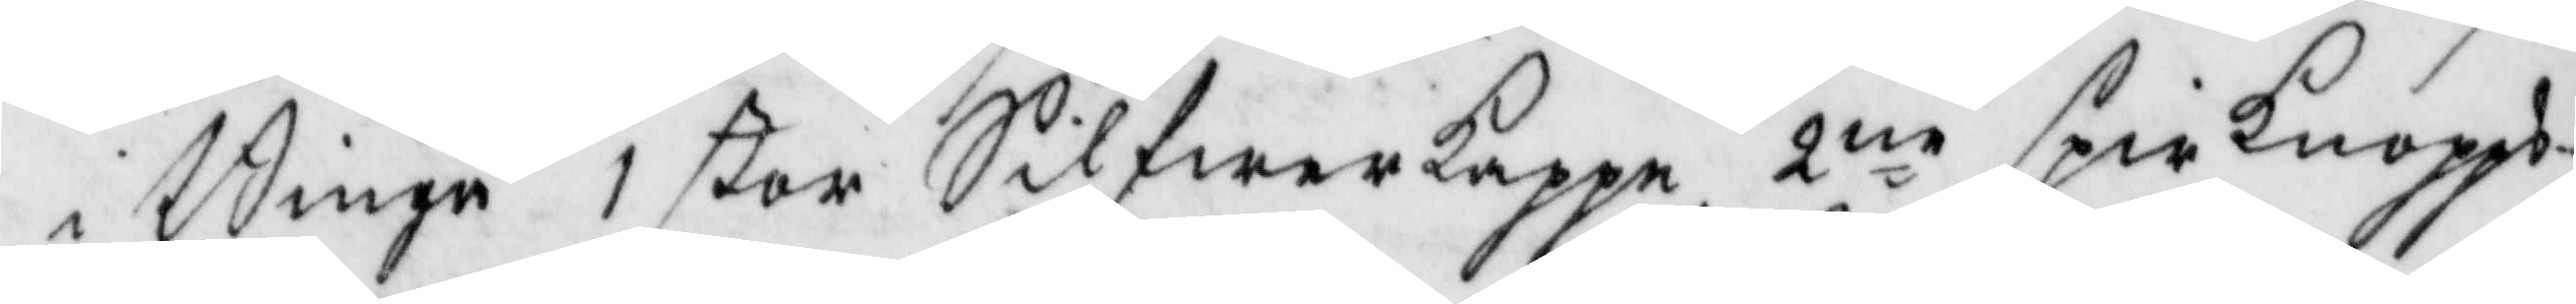i Binge 1 stor Silfwerkappe 2ne spirknopps¬
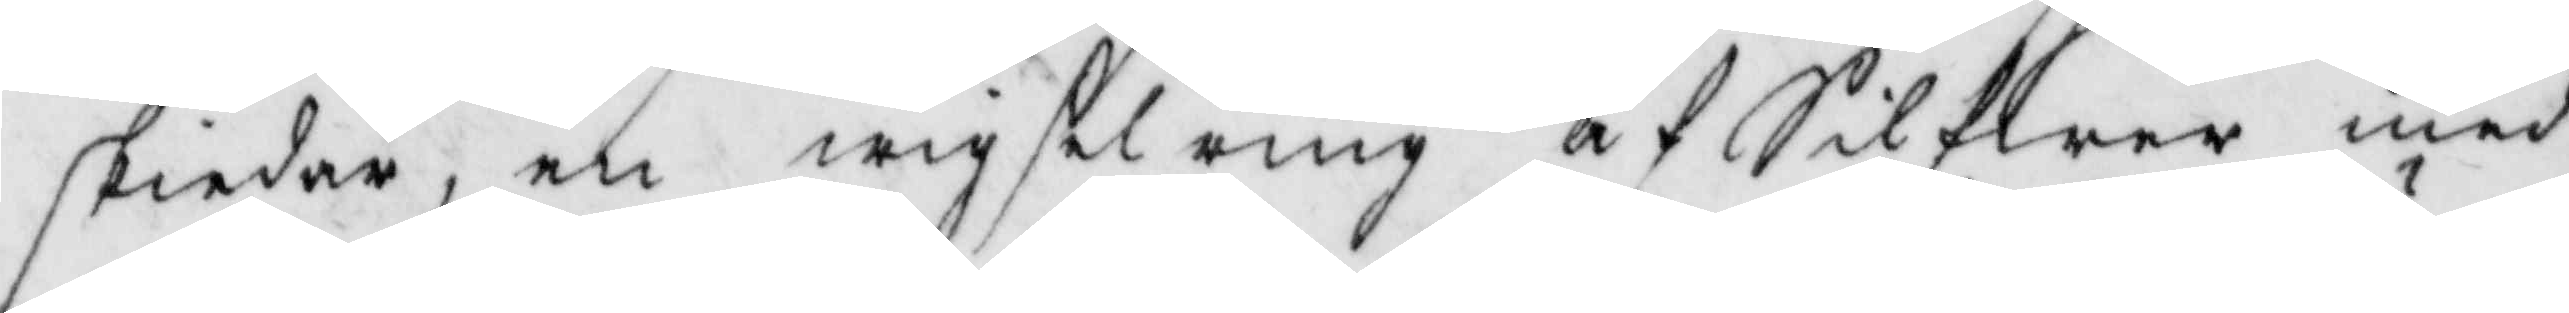skiedar, en wigselring af Silfwer med
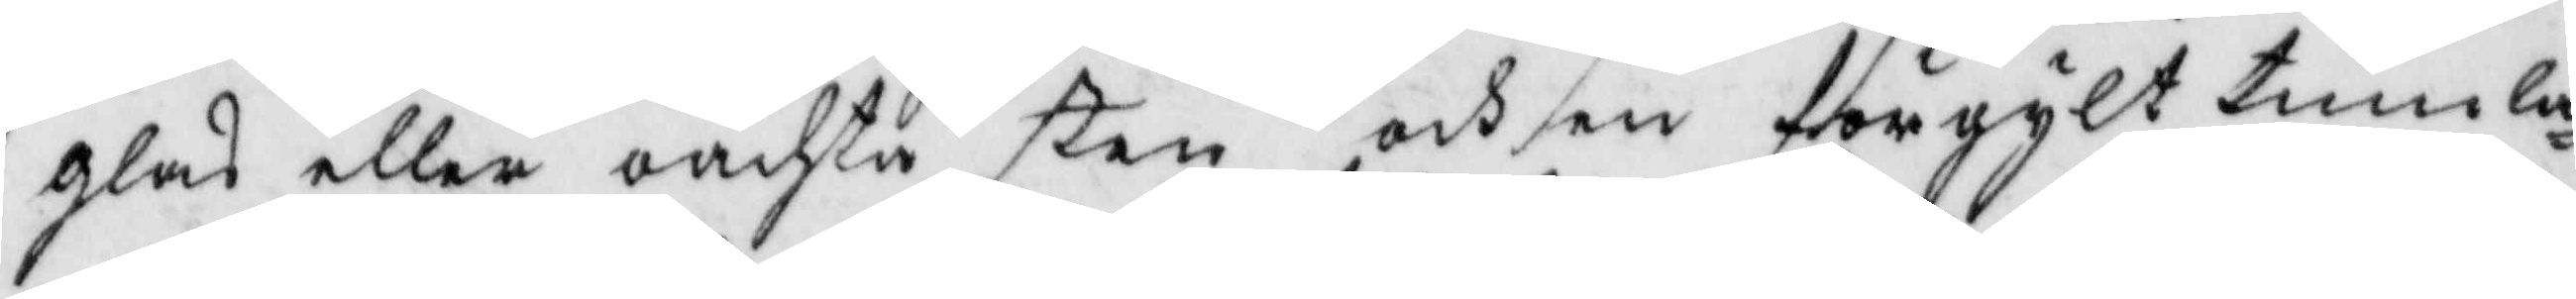glas eller oächta sten och en förgylt tumla¬
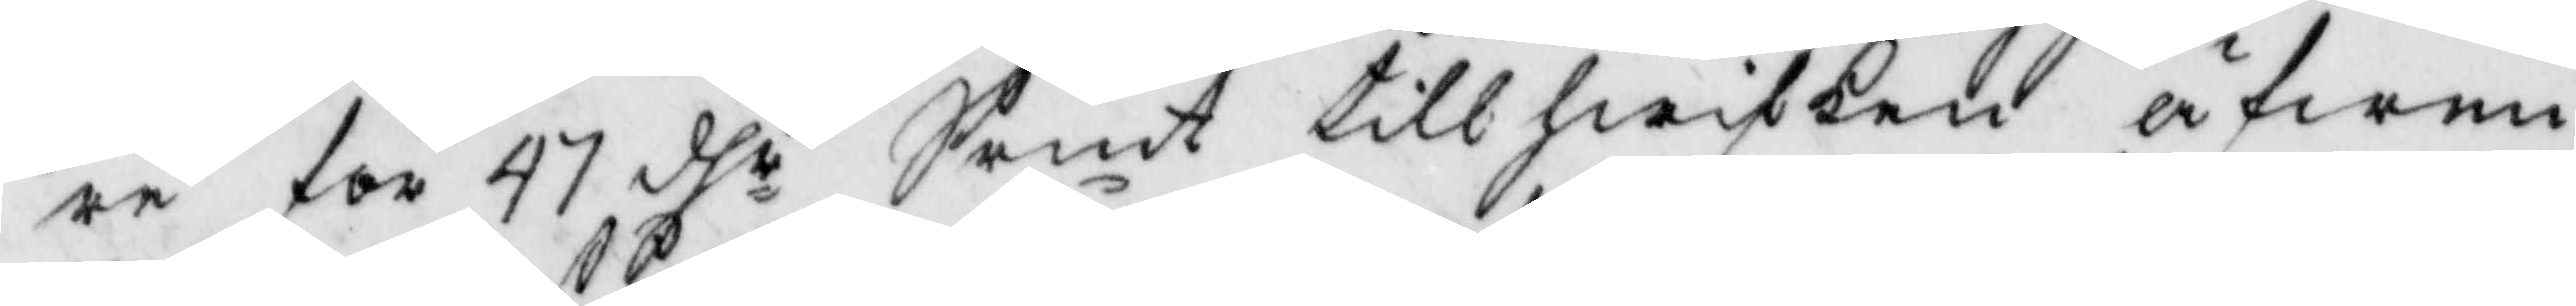re för 47 dhr Samt tillhwilken äfwen
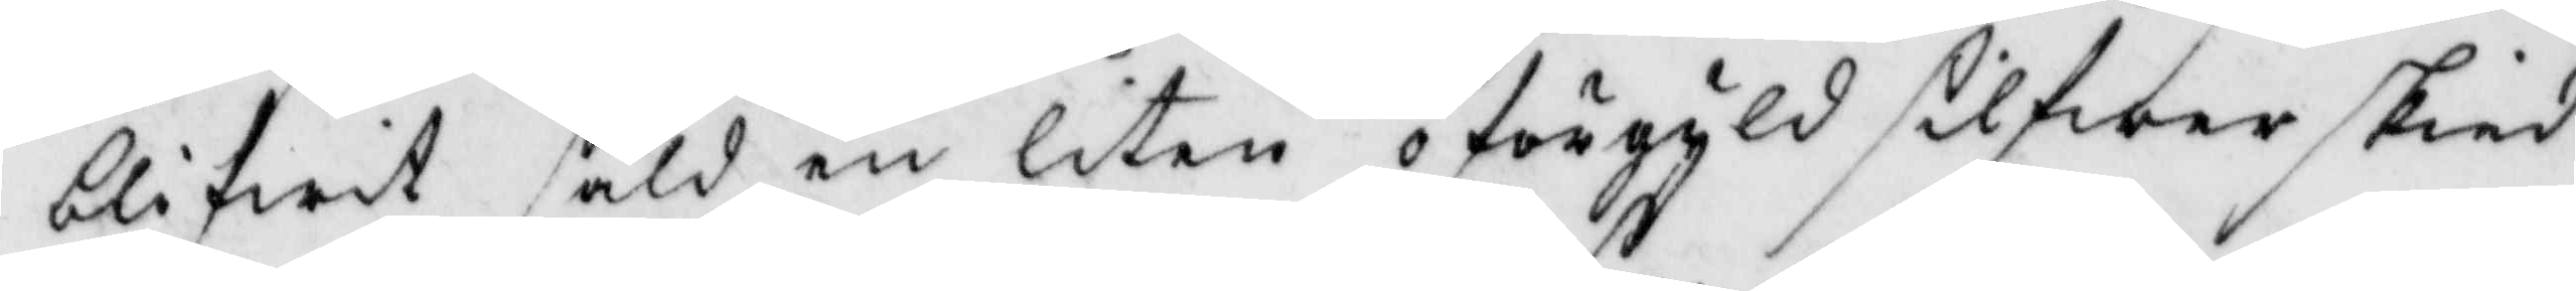blifwit såld en liten oförgyls silfwerskied
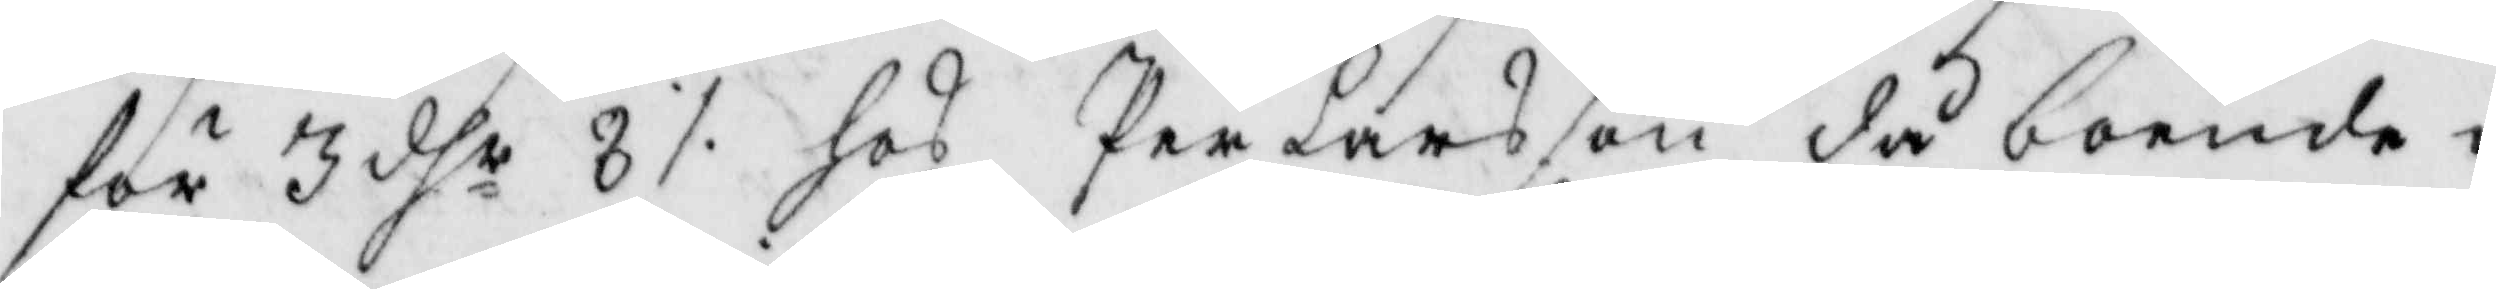för 3 dhr 8 ./. hos Per Larsson då boende i
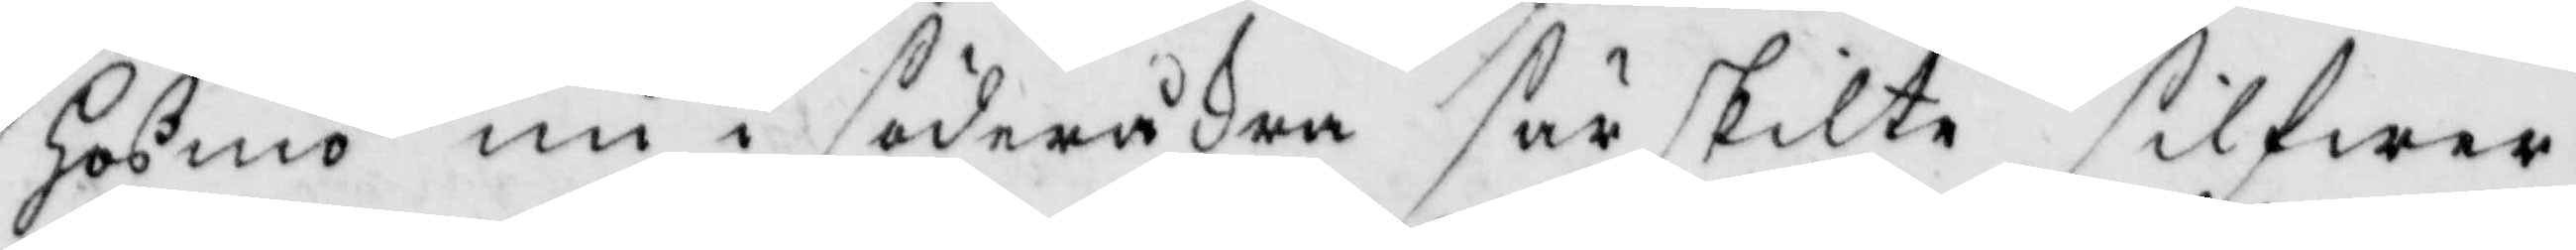Hosmo nu i söderåkra särskilte silfwer¬
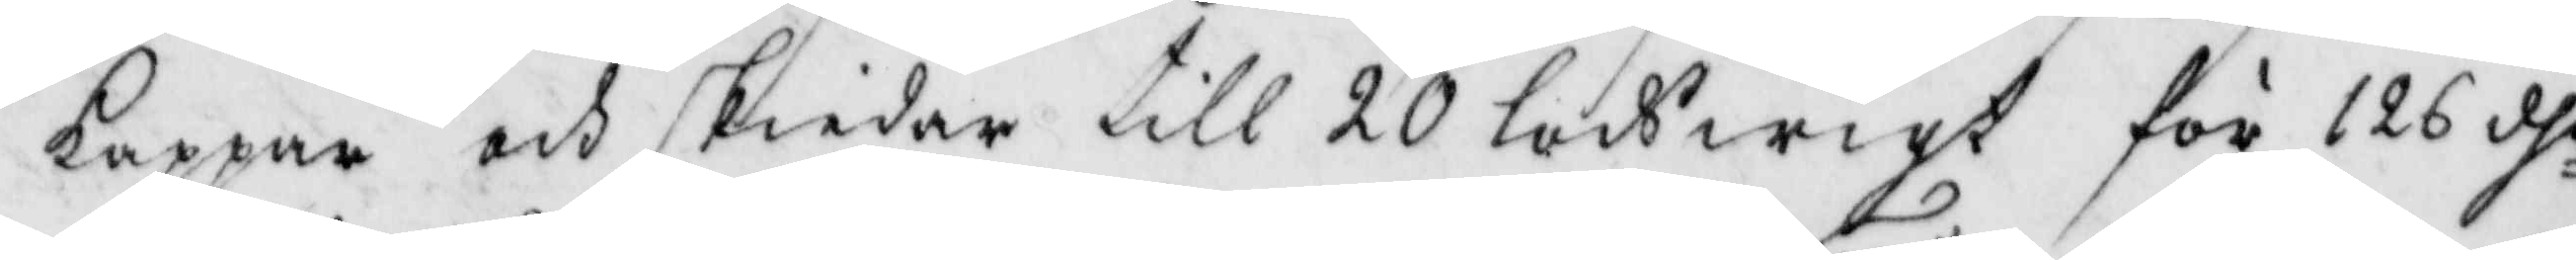kappar och skiedar till 20 lods wigt för 126 dhr
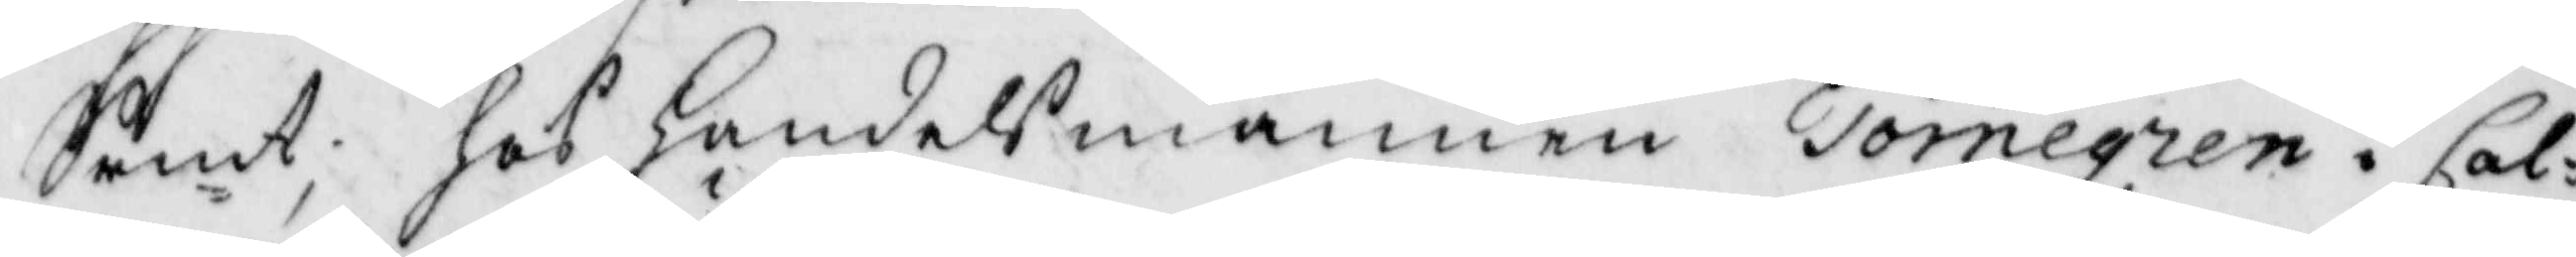Srmt; hos handelsmannen Törnegren i Cal¬
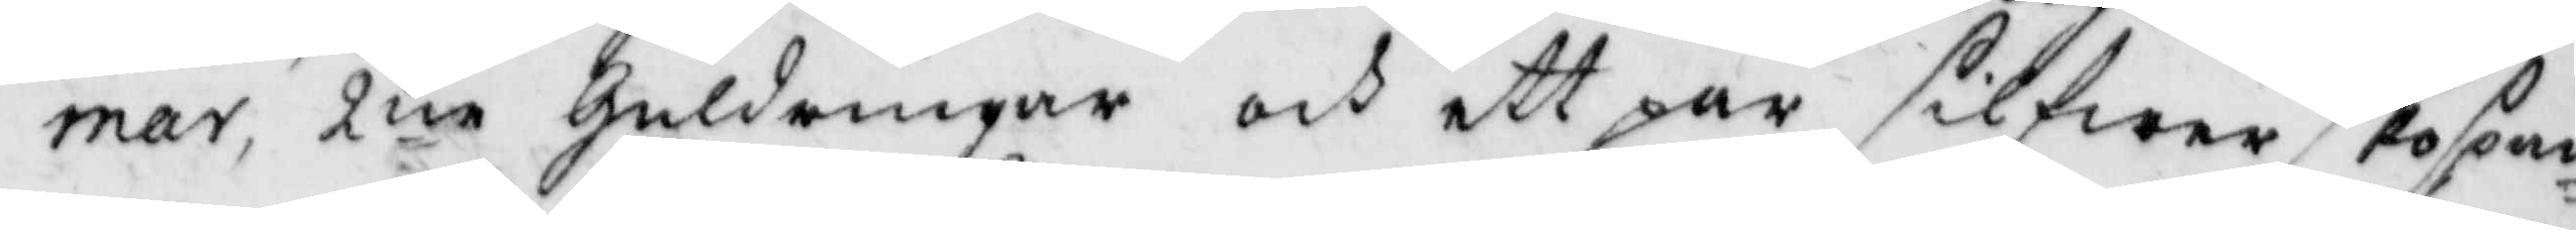mar, 2ne guldringar och ett par silfwerskospäm¬
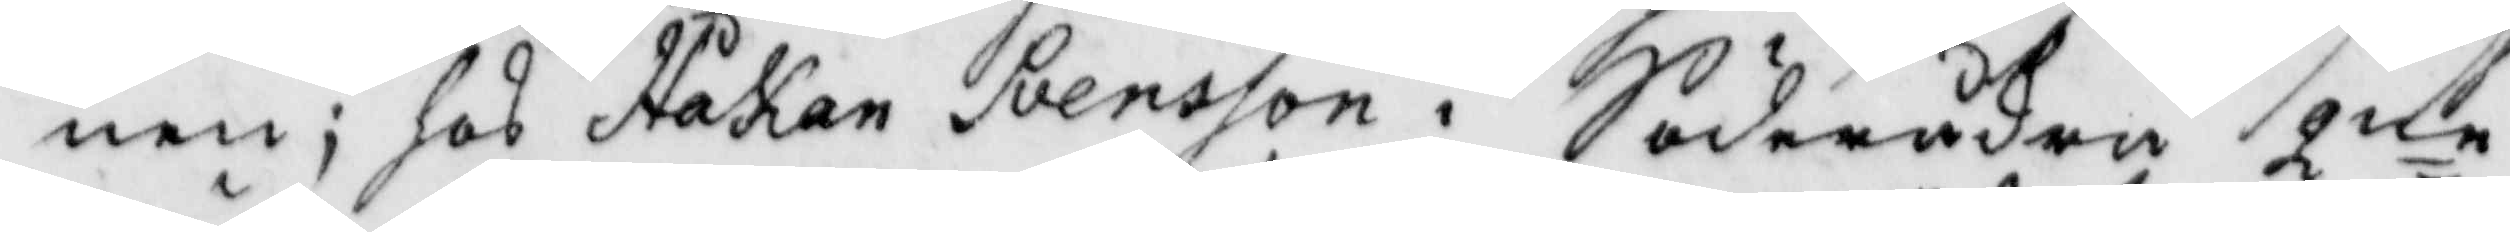nen; hos Håkan Svensson i Söderåkra 2ne
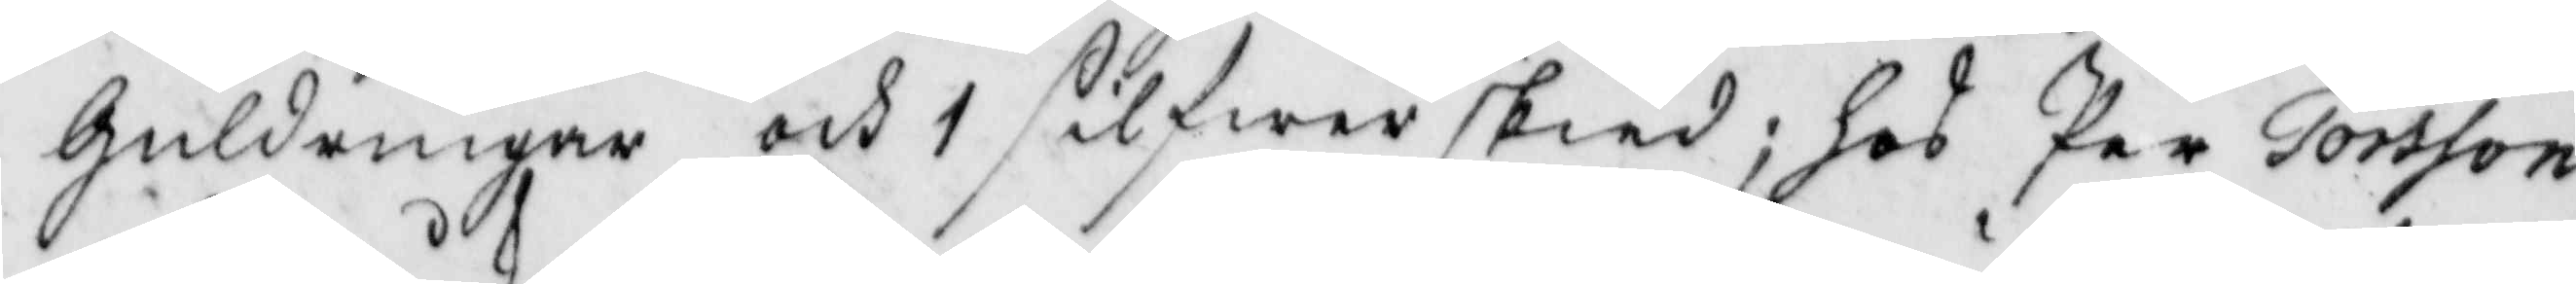guldringar och 1 silfwerskied; hos Per Torsson
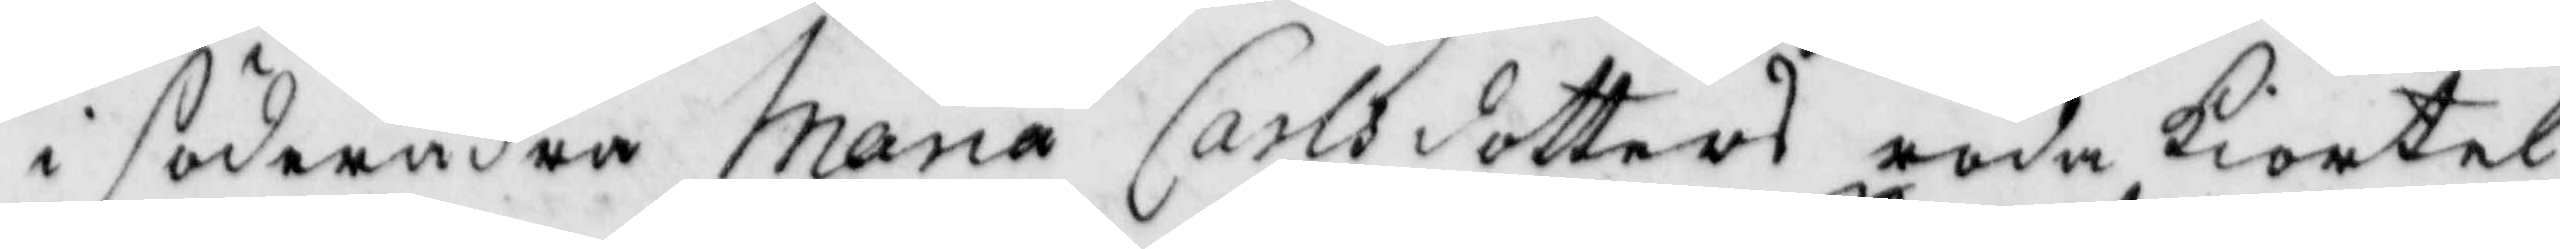i söderåkra Maria Carlsdotters röda kiortel
